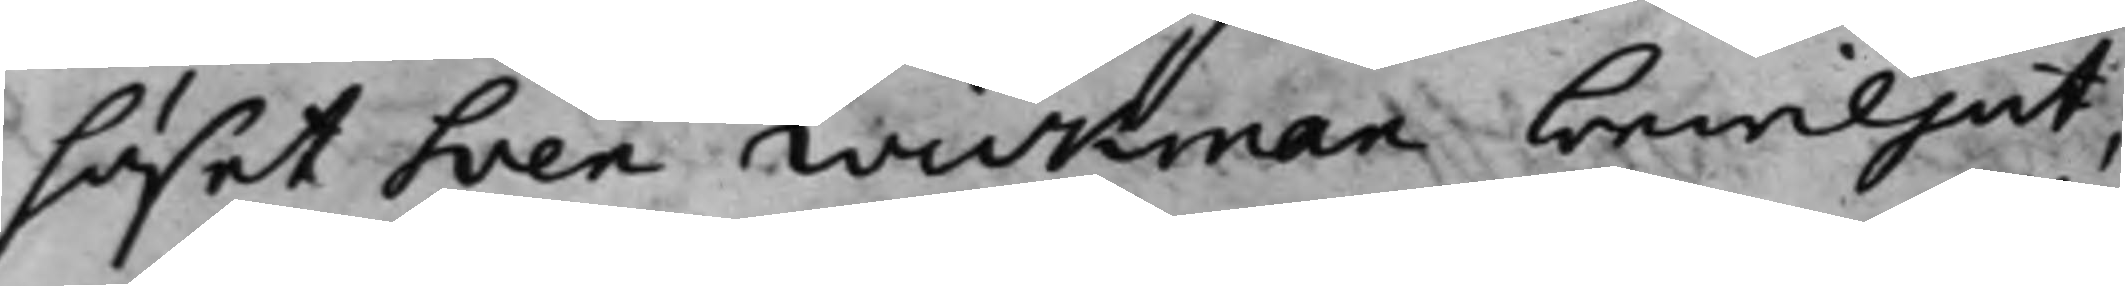huset Sven Wickman bewiljat,
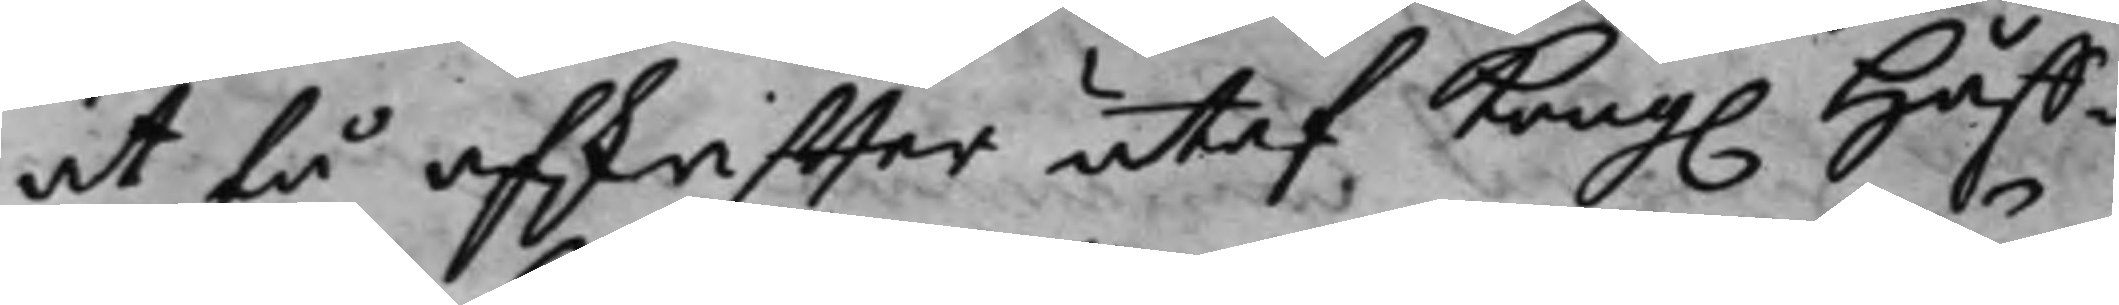at få afskriffter utaf Kong. Håff¬
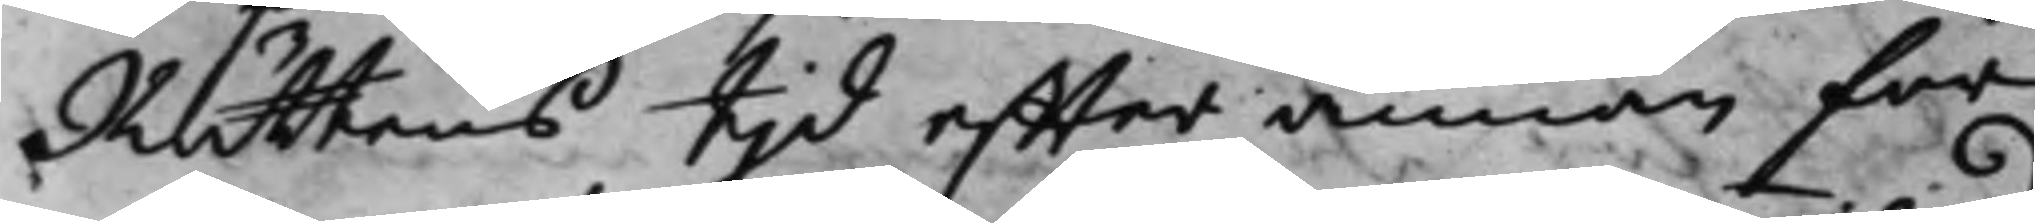Rättens tjd effter Annan för
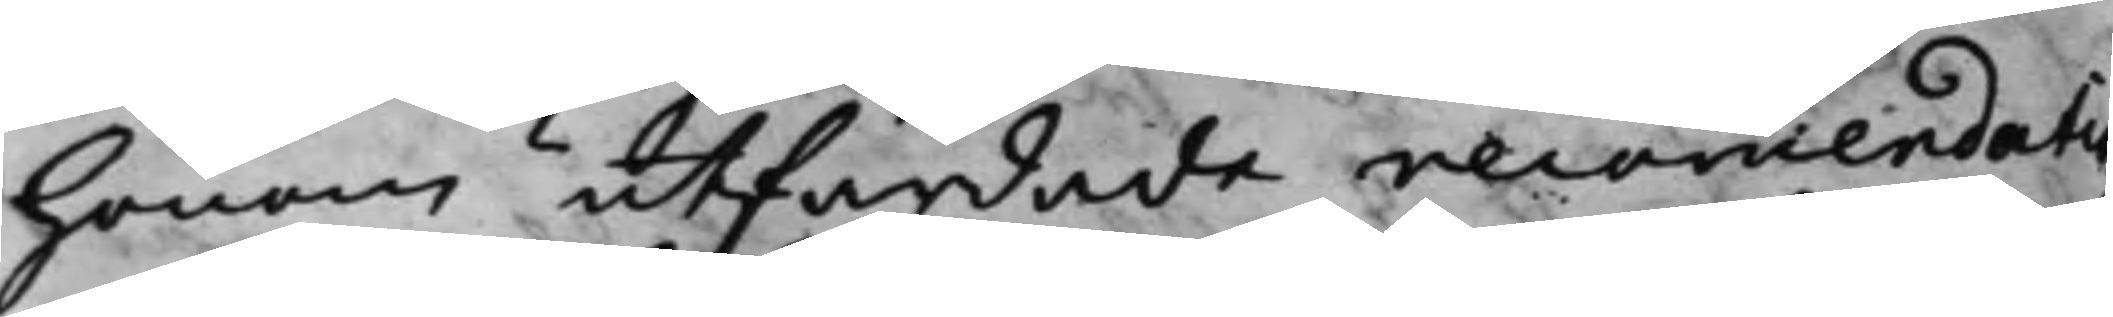honom utfardade recommendatio¬
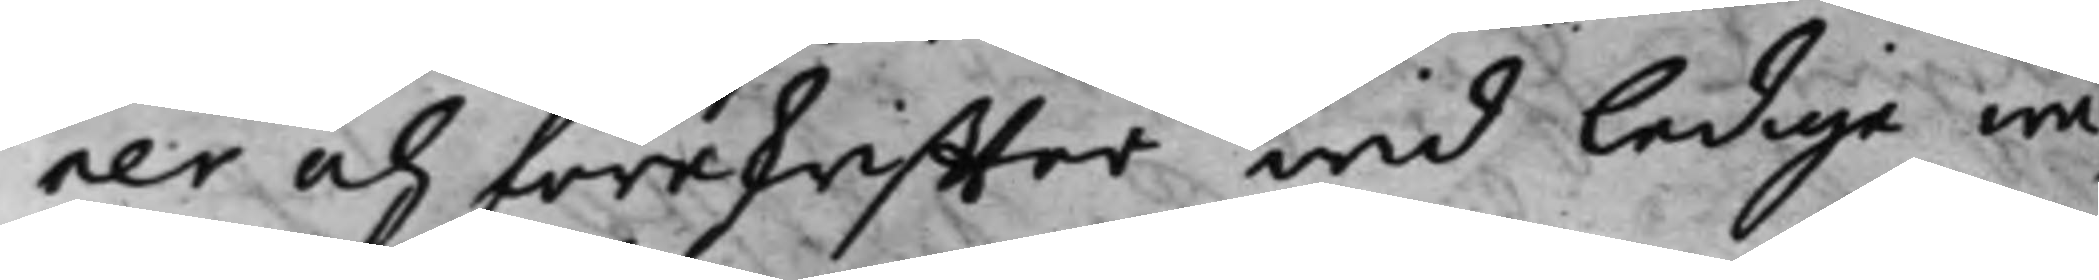ner och föreskriffter wid lediga wa¬
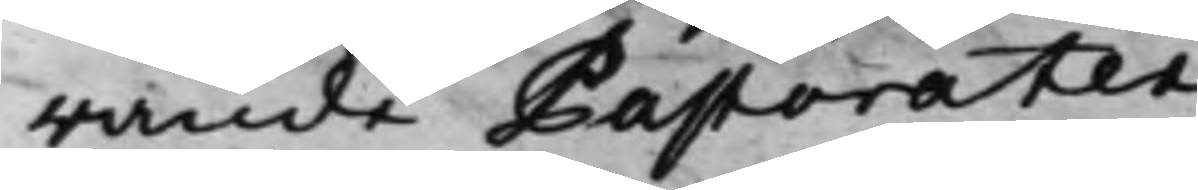rande Pastorater.
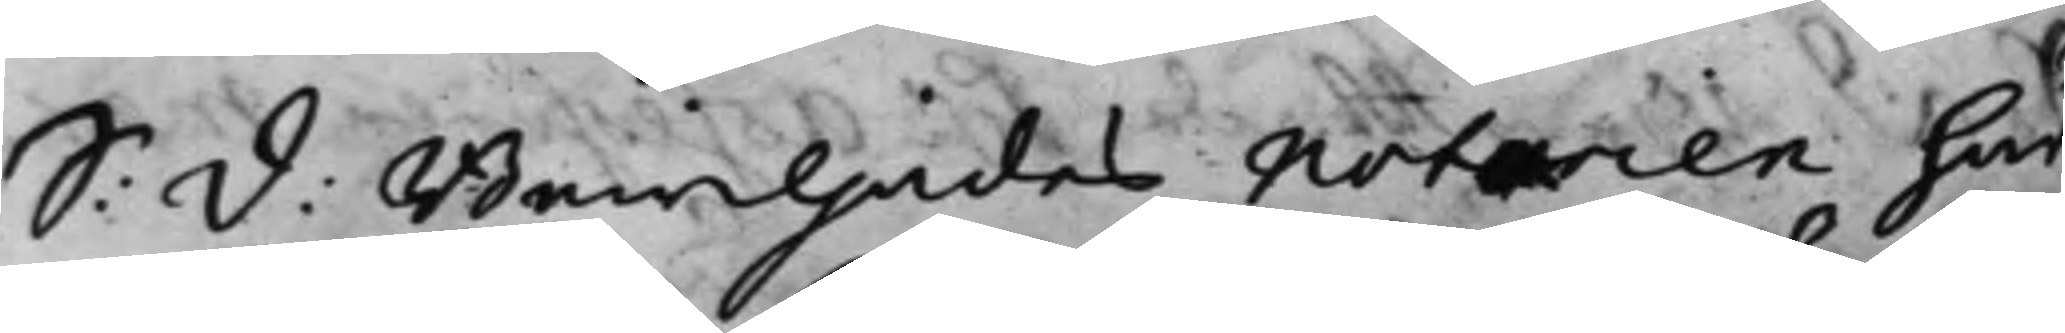S: d: Bewiljades Notarien här
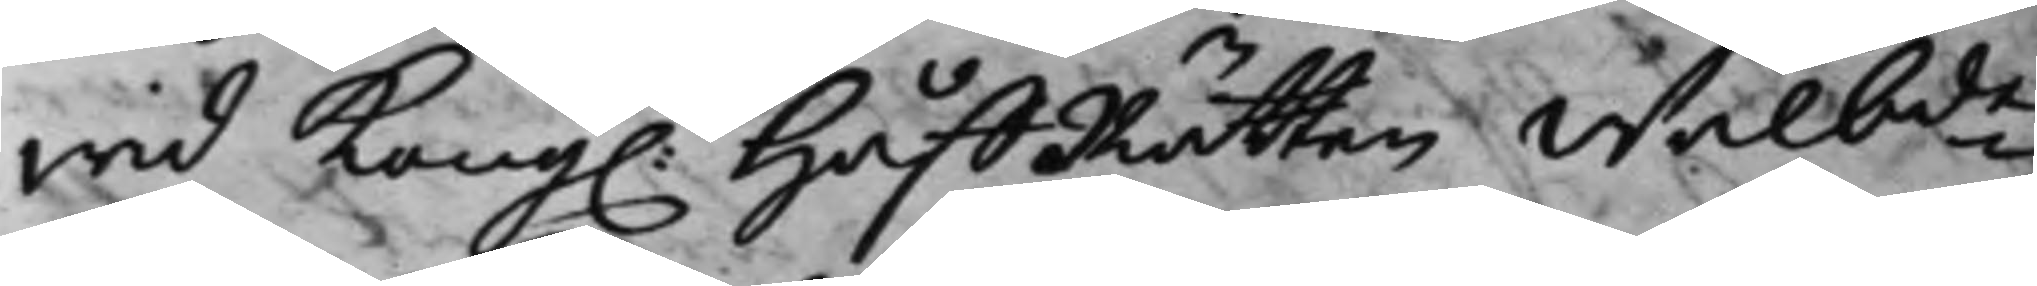wid Kong. HåffRätten Wälbde
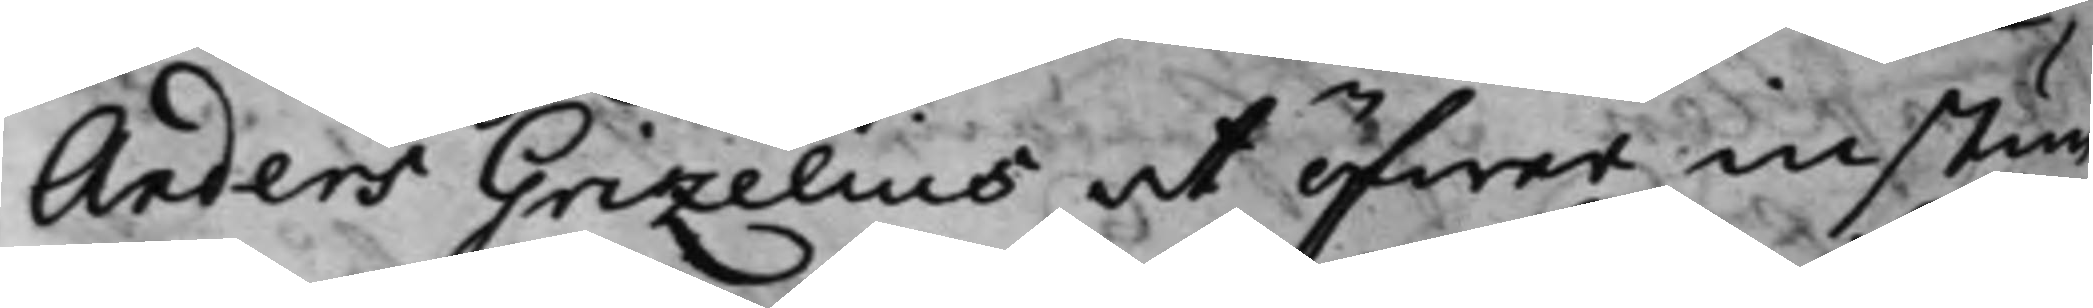Anders Grizelius at öfwer instun¬
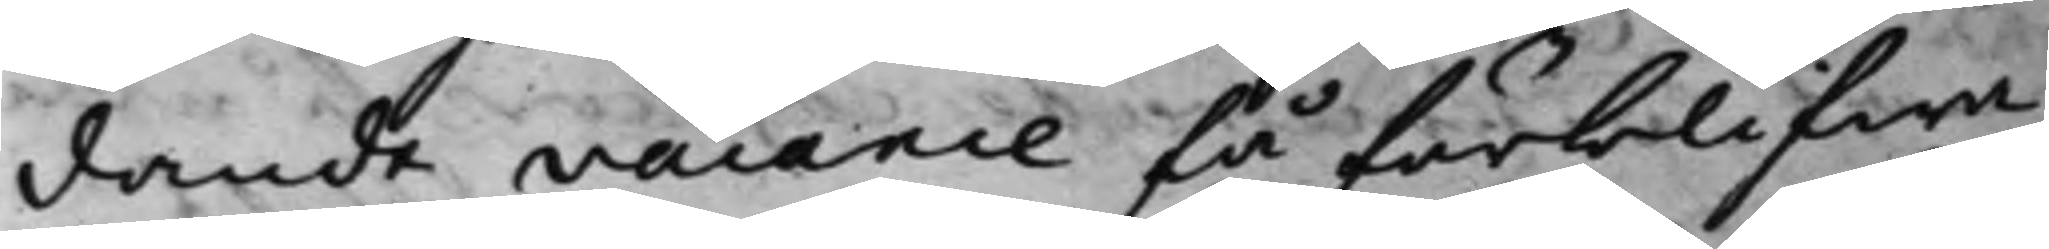dande vacance få förblifwa
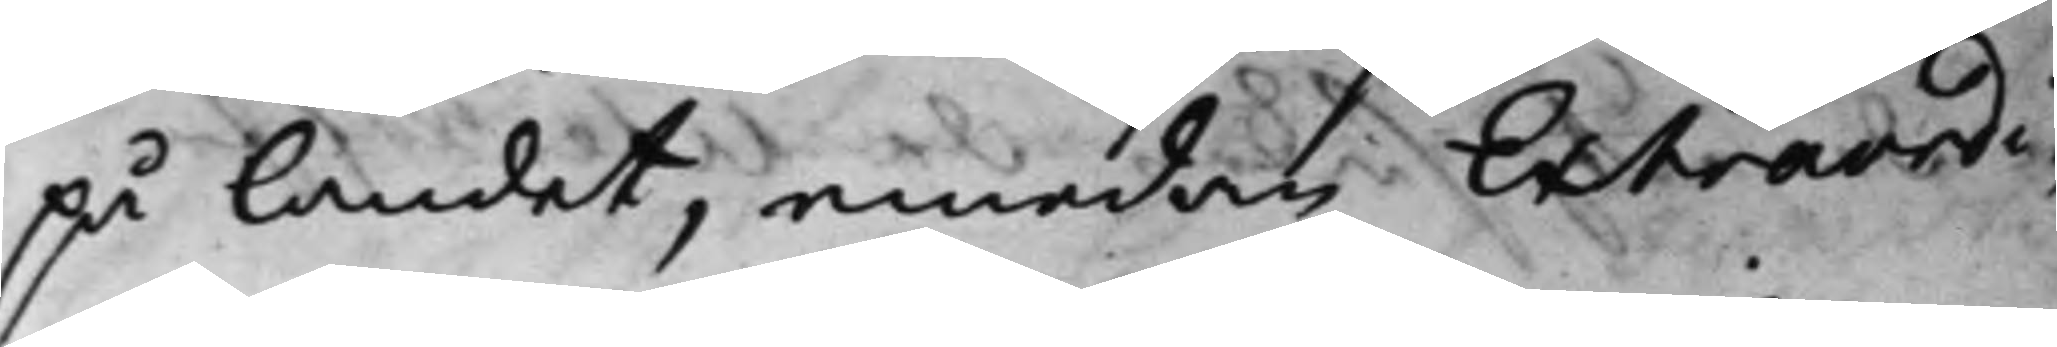på landet, emedan Extraordi¬
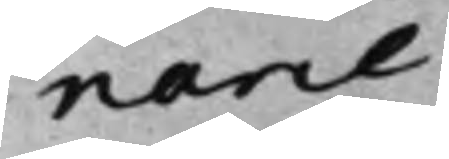narie
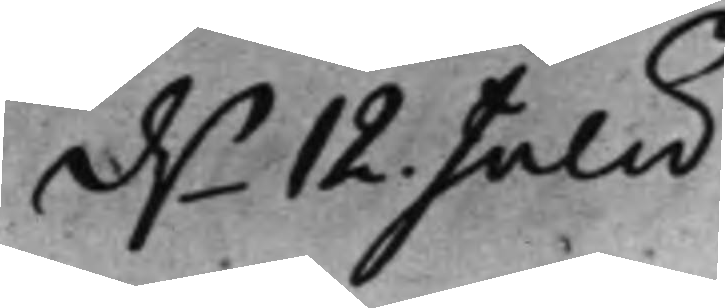d.n 12. Julii.
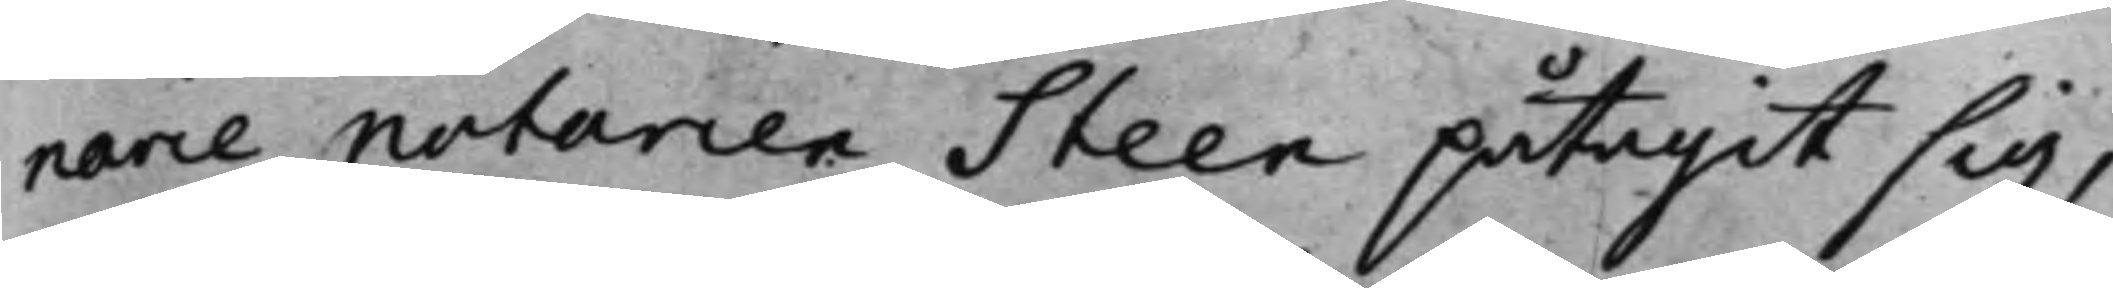narie Notarien Steen påtagit sig,
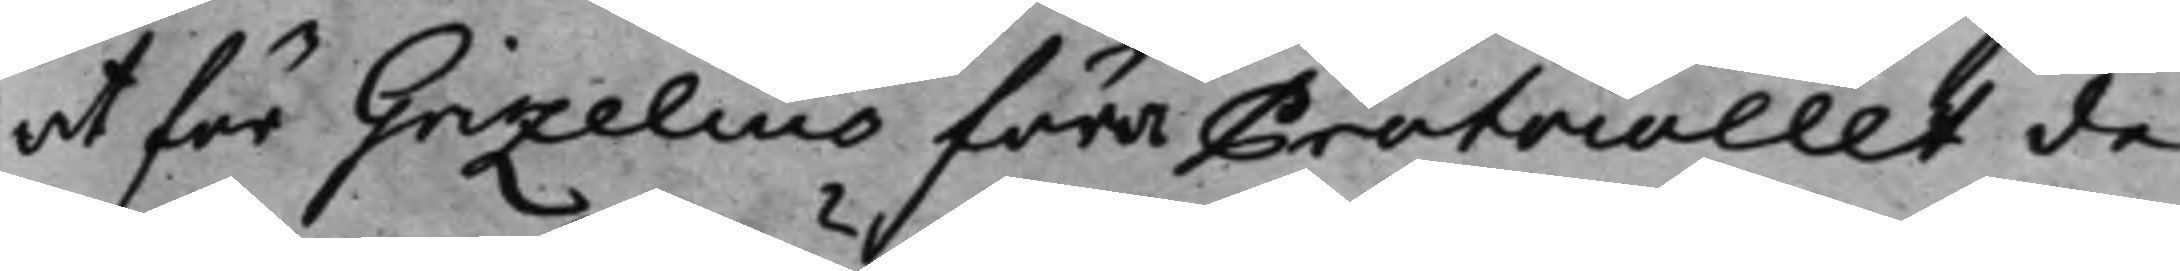at för Grizelius föra Protocollet de
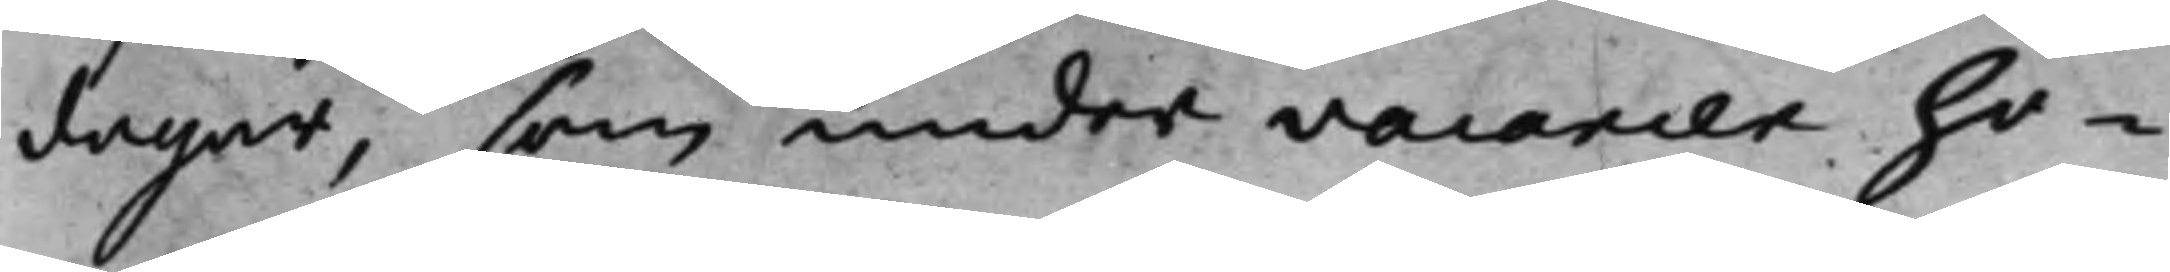dagar, som under vacancen ho¬
